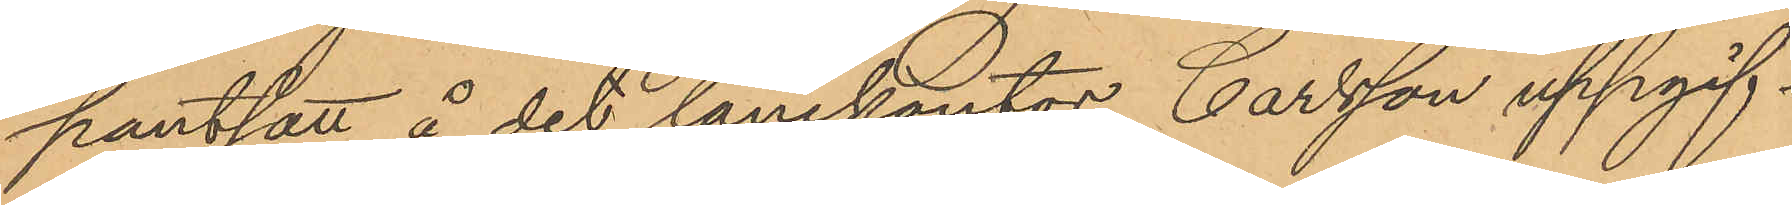pantsatt å det lånekontor Carlsson uppgif¬
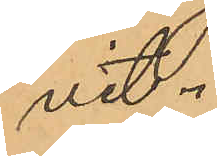vit.
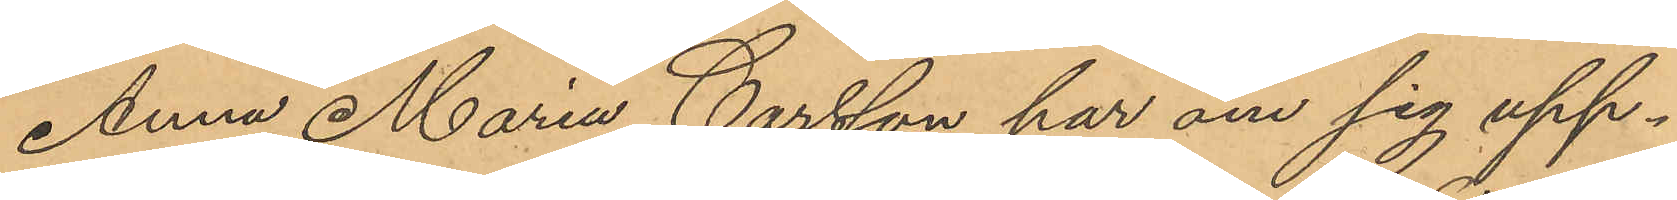Anna Maria Carlsson har om sig upp¬
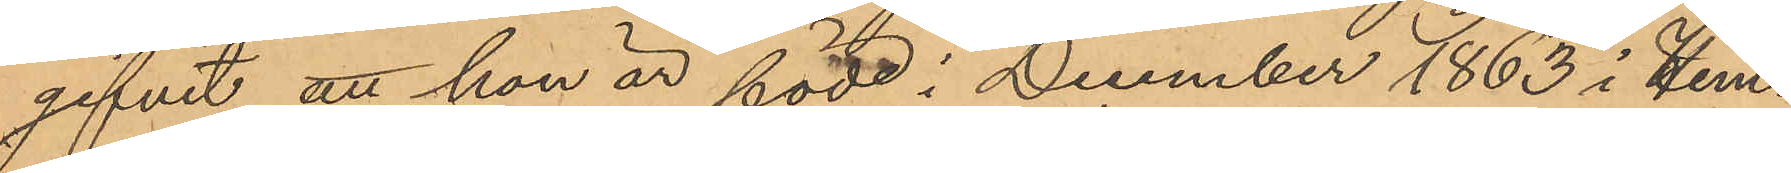gifvit att hon är född i December 1863 i Hem¬
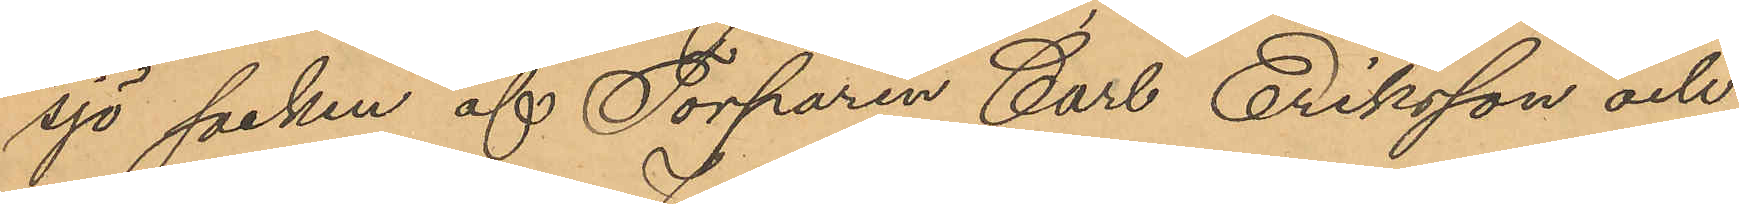sjö socken af Torparen Carl Eriksson och
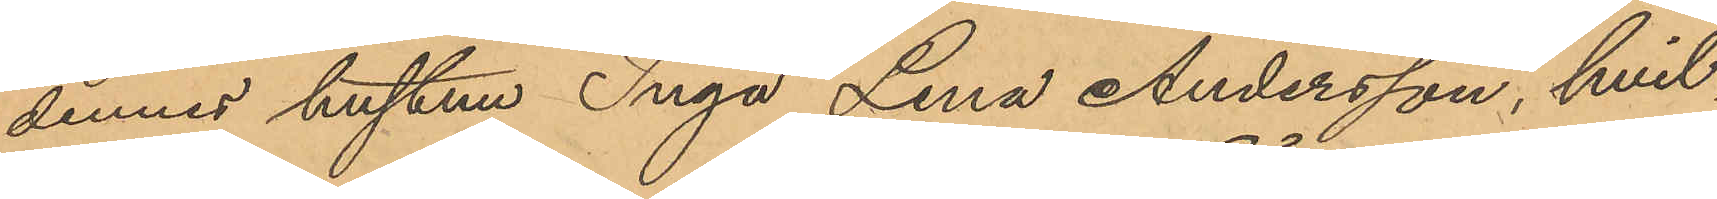dennes hustuu Inga Lena Andersson, hvil¬
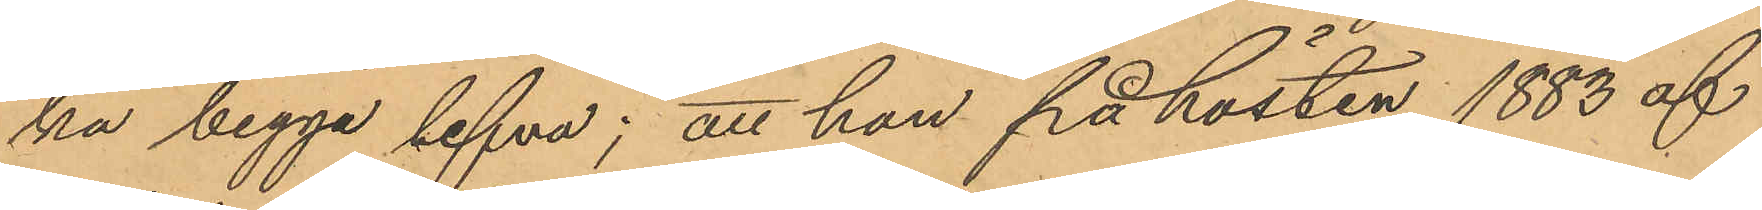ka begga lefva; att hon på hösten 1883 af
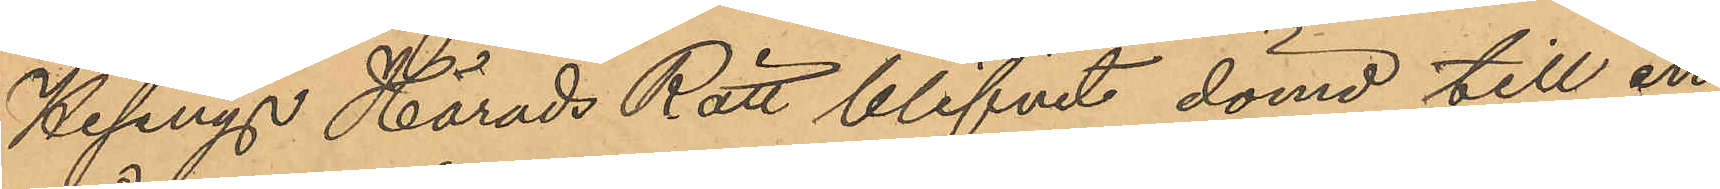Hisings Härads Rätt blifvit dömd till en
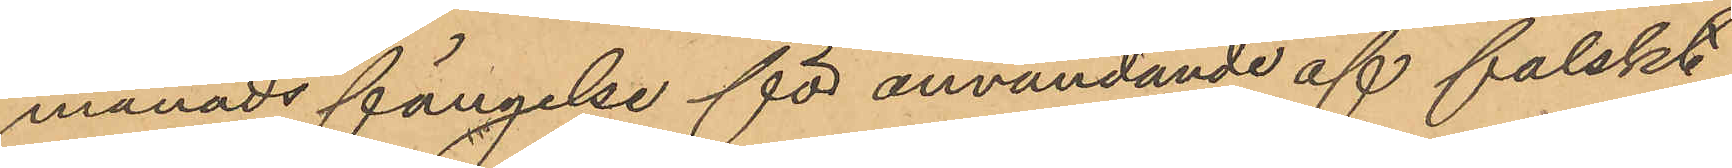månads fängelse för användande af falskt
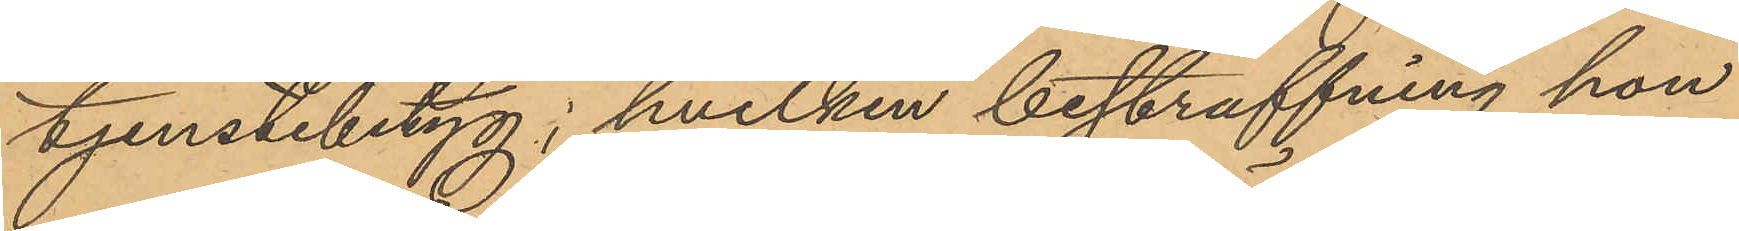tjenstebetyg, hvilken bestraffning hon
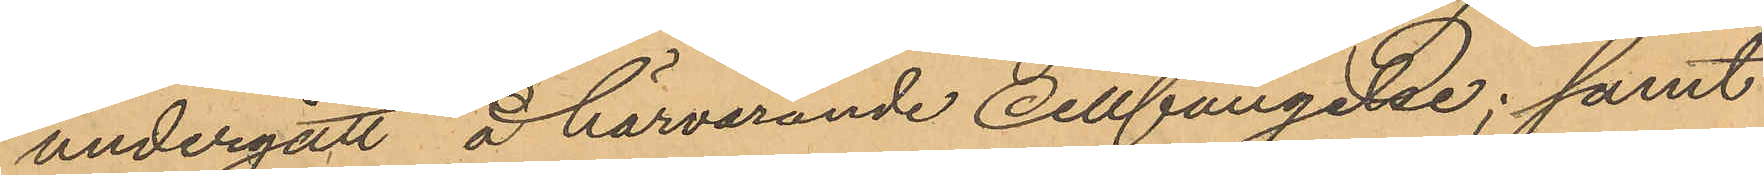undergått å härvarande Cellfängelse; samt
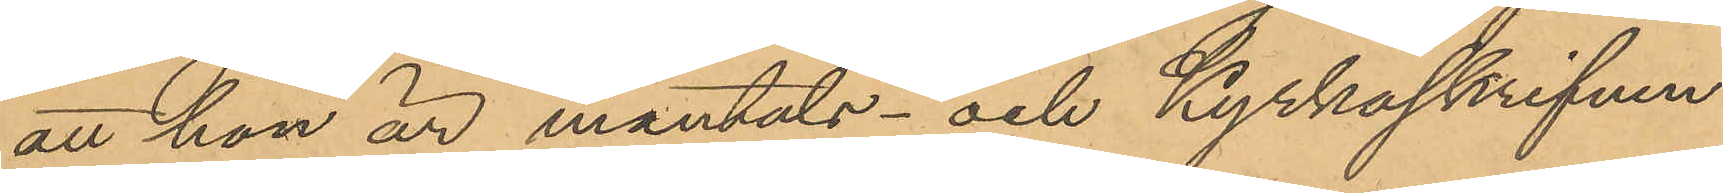att hon är mantals- och Kyrkoskrifven
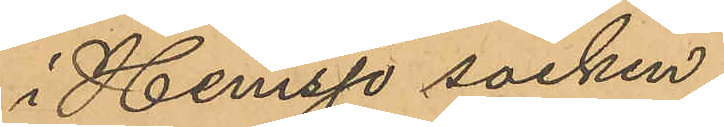i Hemsjö socken.
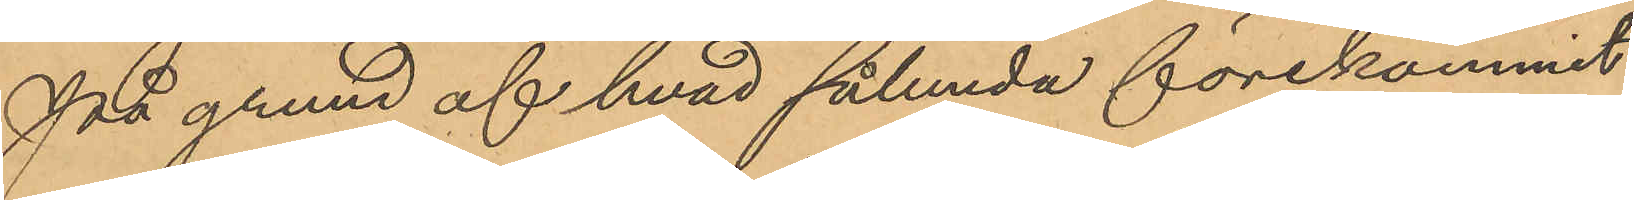På grund af hvad sålunda förekommit
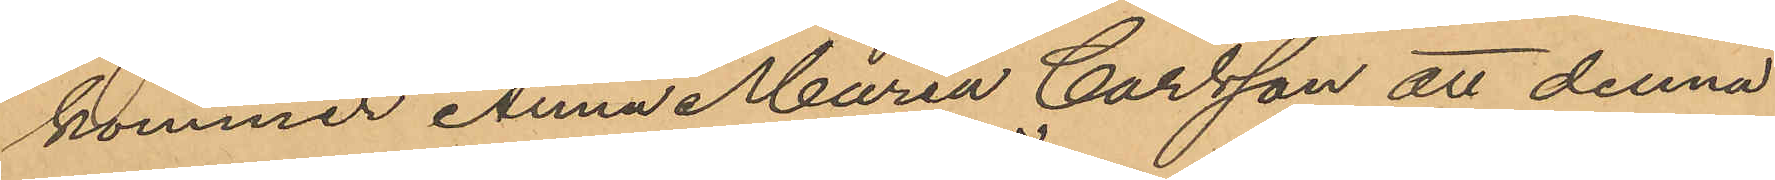kommer Anna Maria Carlsson att denna
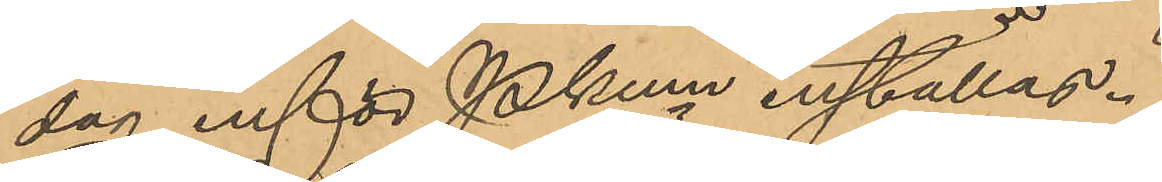dag inför Pkmn inställas.
